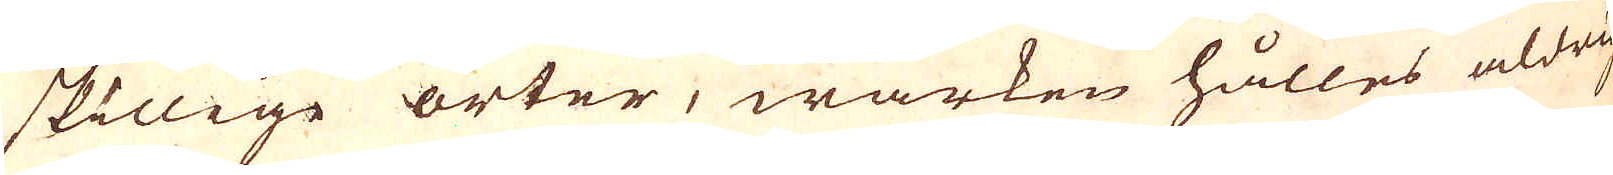skillige orter, wärken hålles aldrig
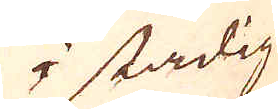i stadig
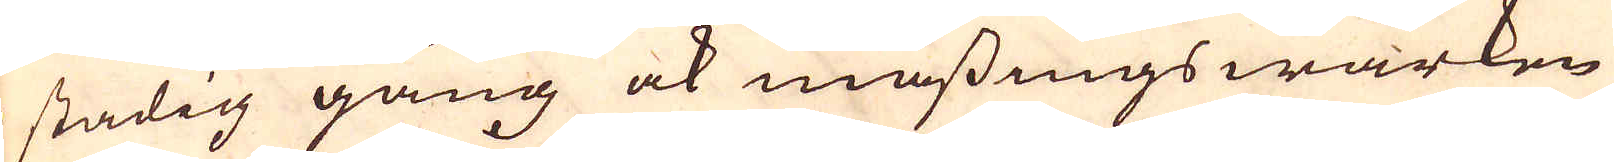i stadig gång ock mässings wärken
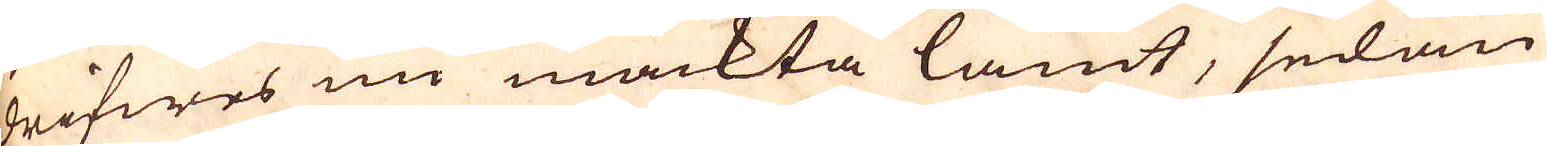drifwes nu mäckta lamt, sedan
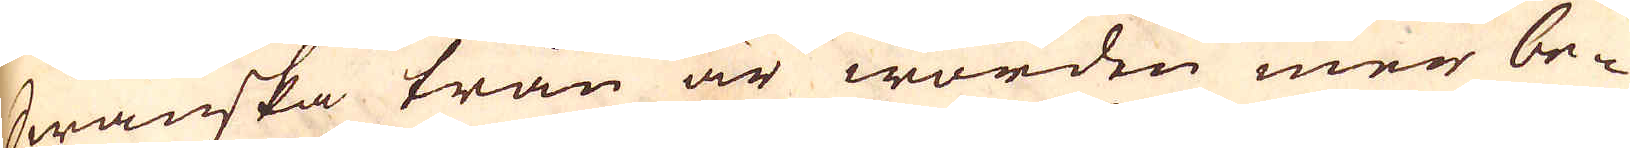Swänska trån är worden mer be-
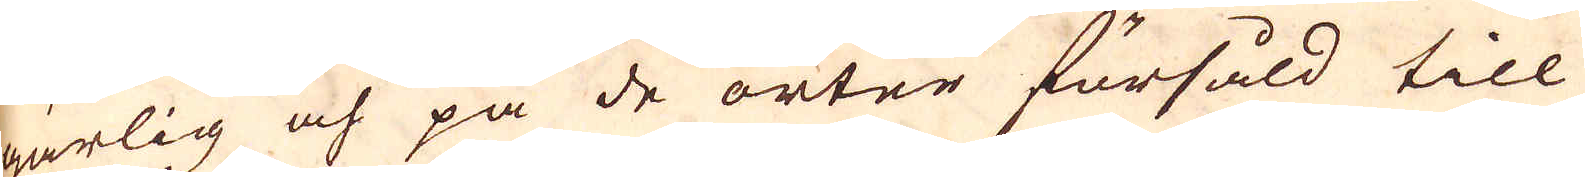gärlig och på de orter försåld till
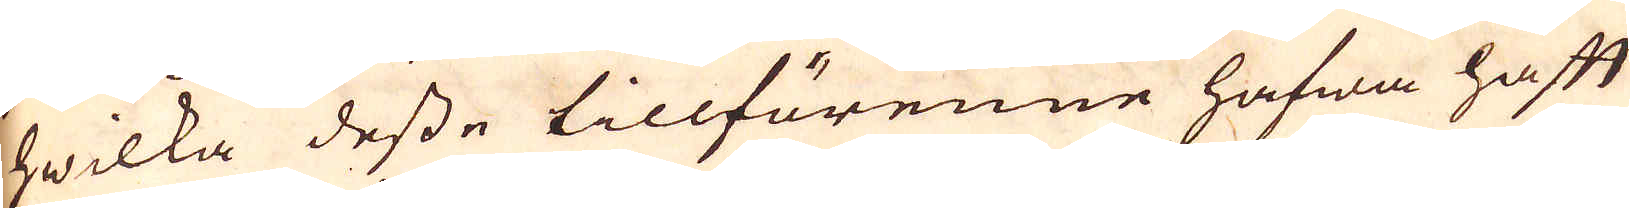hwilka desse tillförenne hafwa haft
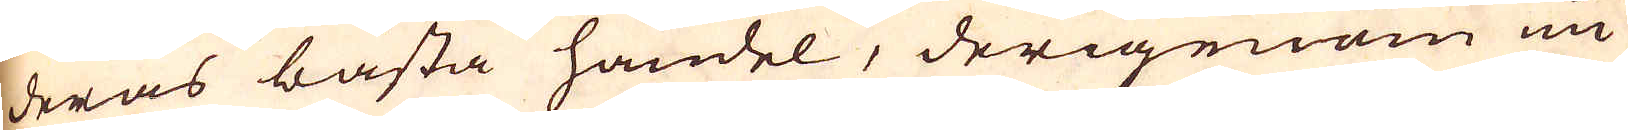deras bästa handel, derigenom nu
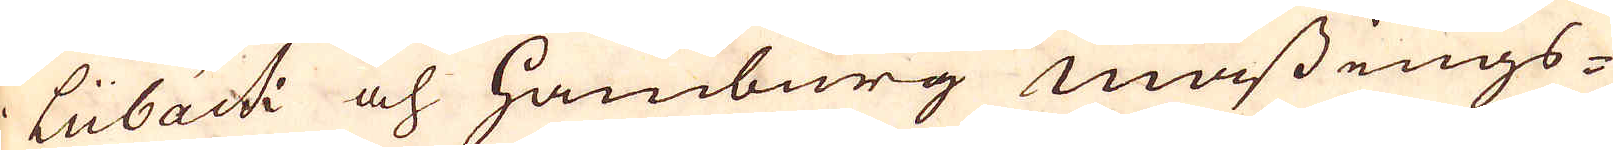Lübäck och Hamburg mässings-
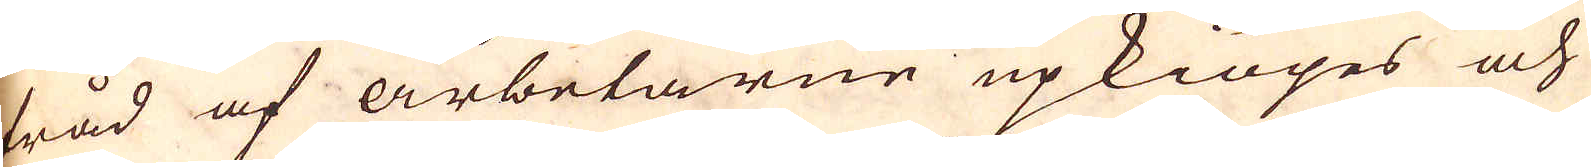tråd af arbetarne upkiöpes och
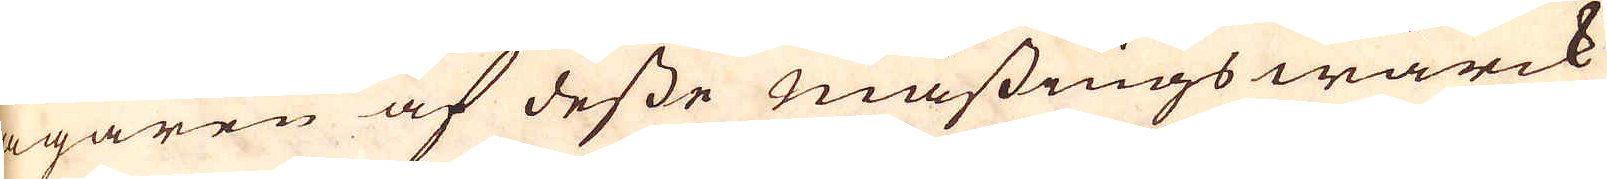ägaren af desse mässings wärck
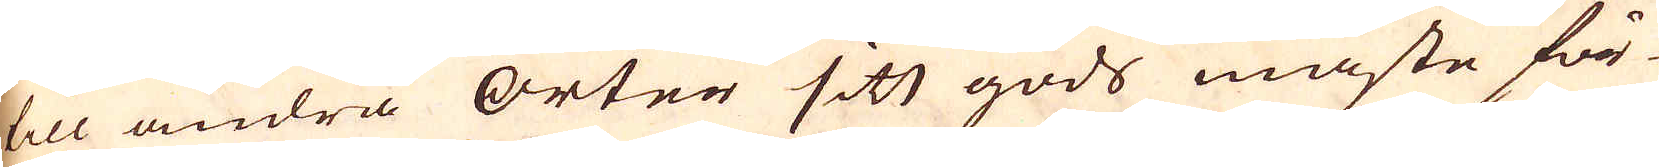till andra Orter sitt gods måste för-
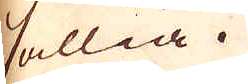sällia.
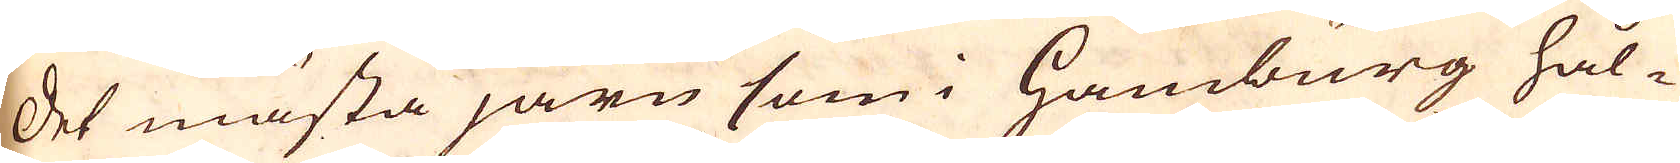Det mästa järn som i Hamburg hål-
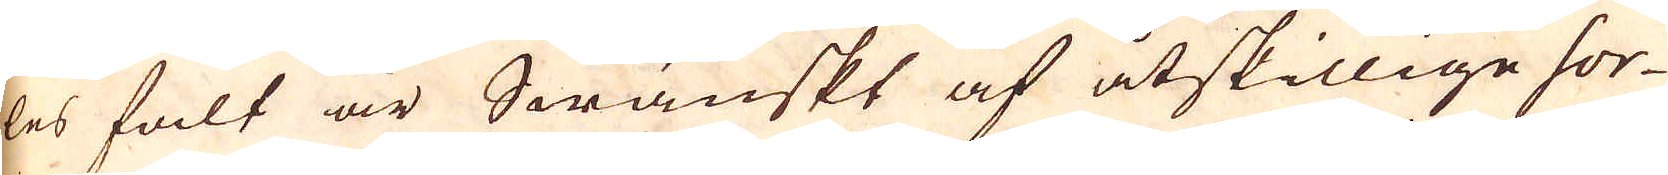les falt är Swänskt af åtskillige sor-
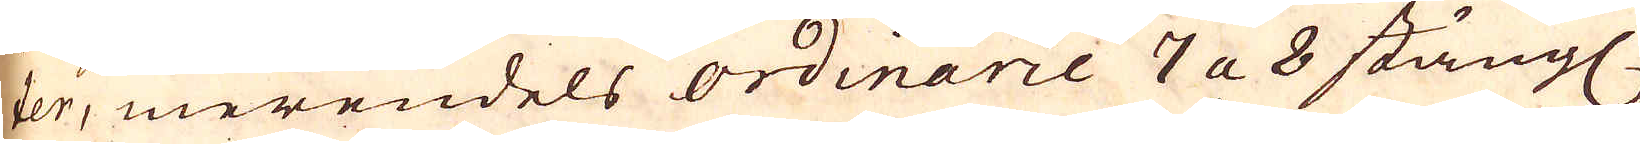ter, merendels ordinarie 7 a 8 stängl.
